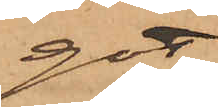got
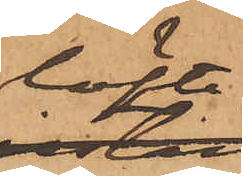löfte
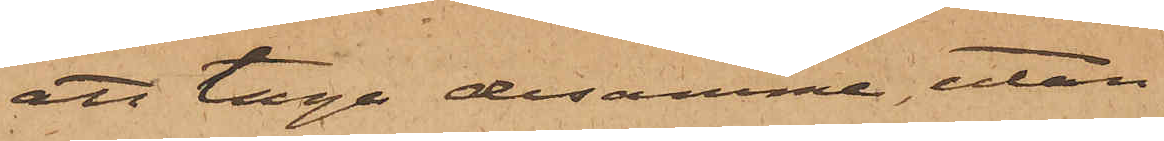att taga desamma, utan
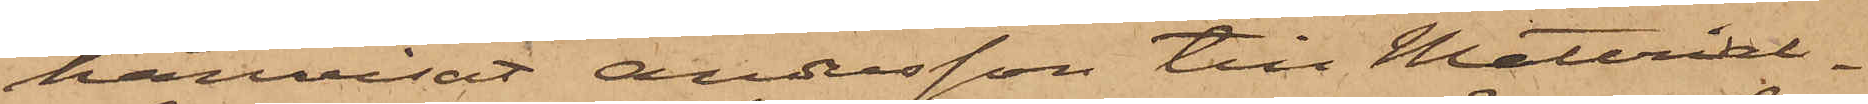hänvisat Andersson till Material¬
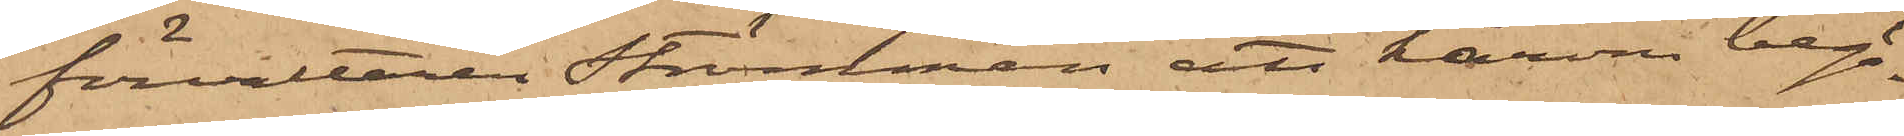förvaltaren Strömman att härom begä¬
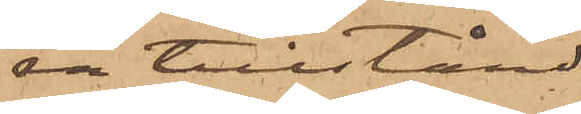ra tillstånd.
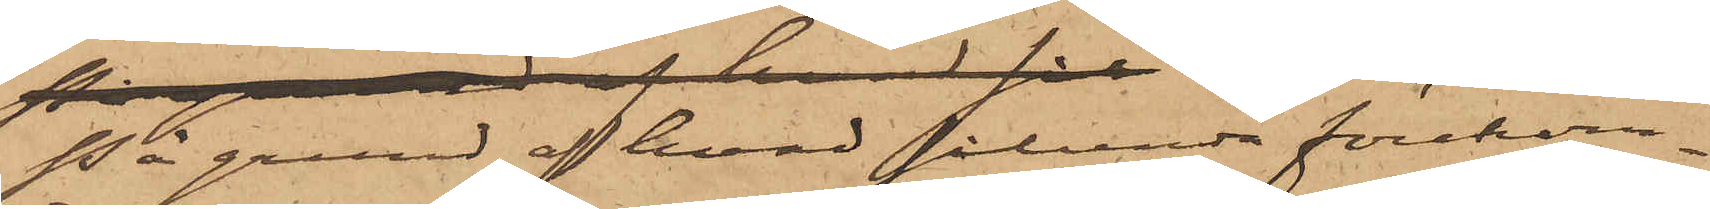 På grund af hvad sålunda förekom¬
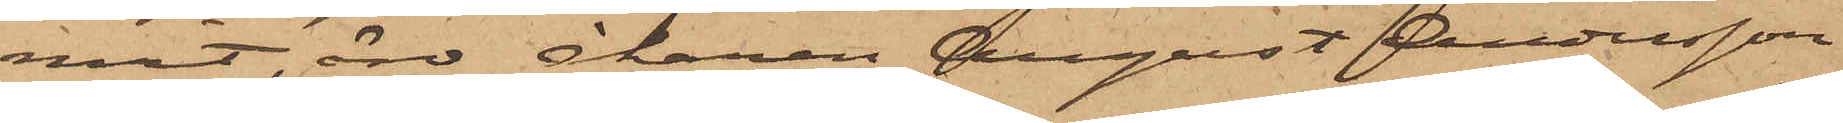mit, äro Åkaren August Andersson
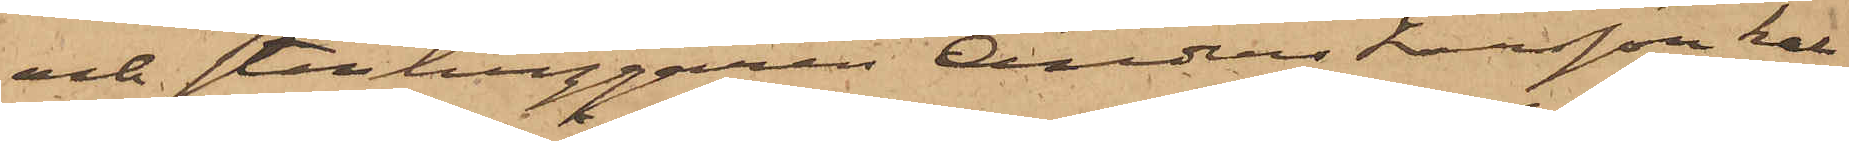och stenhuggaren Anders Larsson kal¬
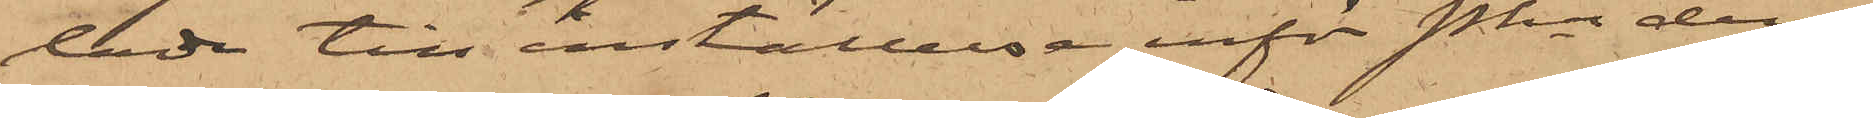lade till inställelse inför Pkn den
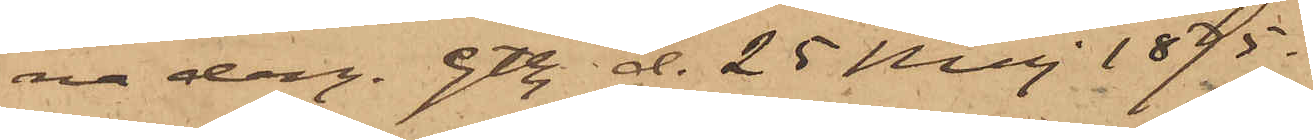na dag. Gtbg. d. 25 Maj 1875.
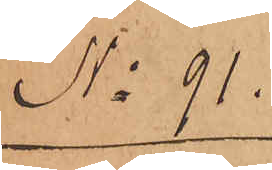No 91.
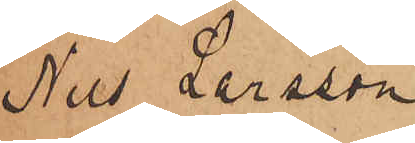Nils Larsson
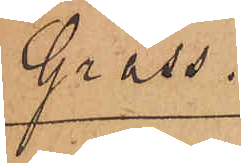Grass.
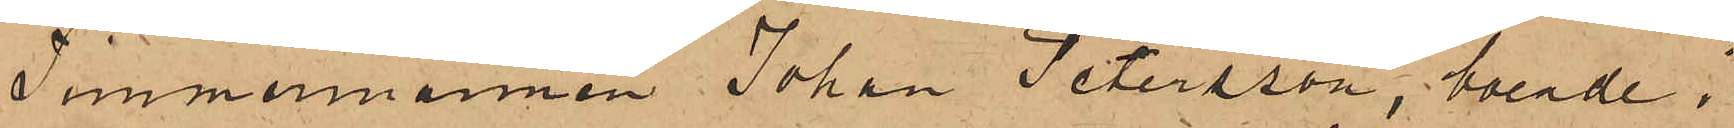Timmermannen Johan Petersson, boende i
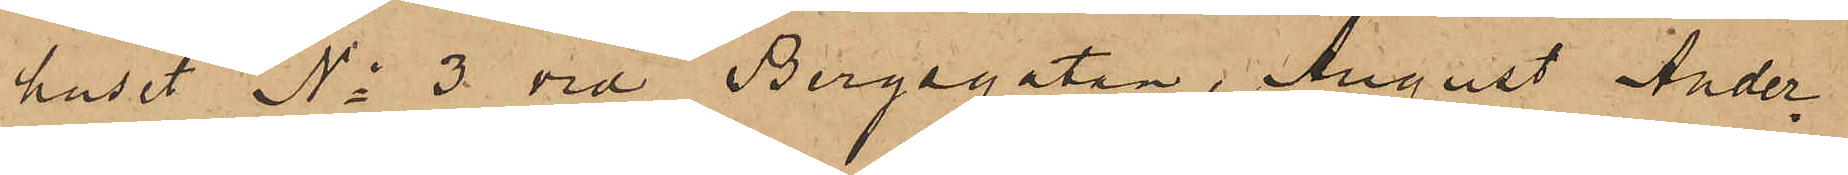huset No 3 vid Bergsgatan, August Ander¬
